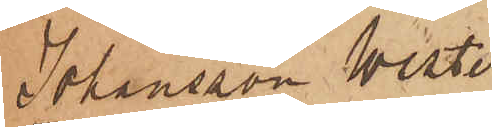Johansson Wester
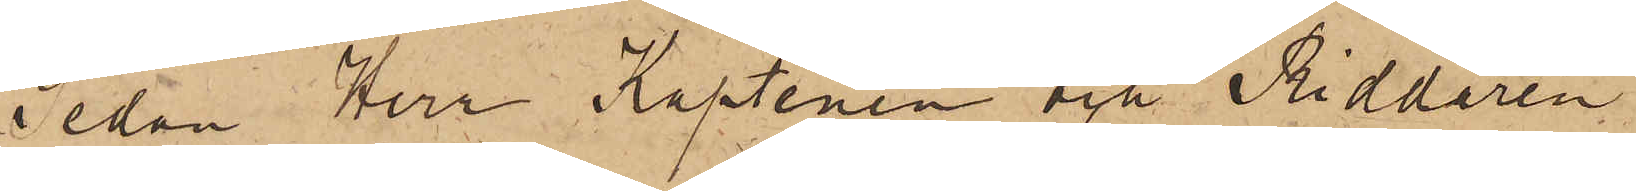sedan Herr Kaptenen och Riddaren
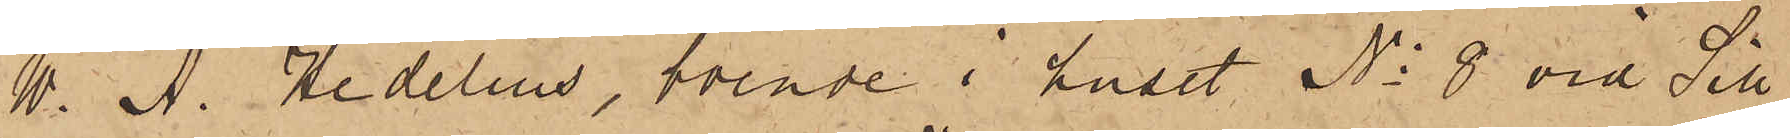W. A. Hedelius, boende i huset No 8 vid Sill¬
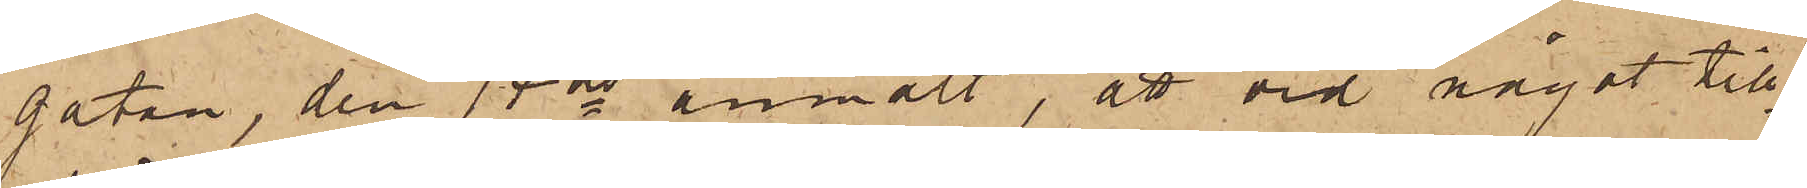gatan, den 18 ds anmält, att vid något till¬
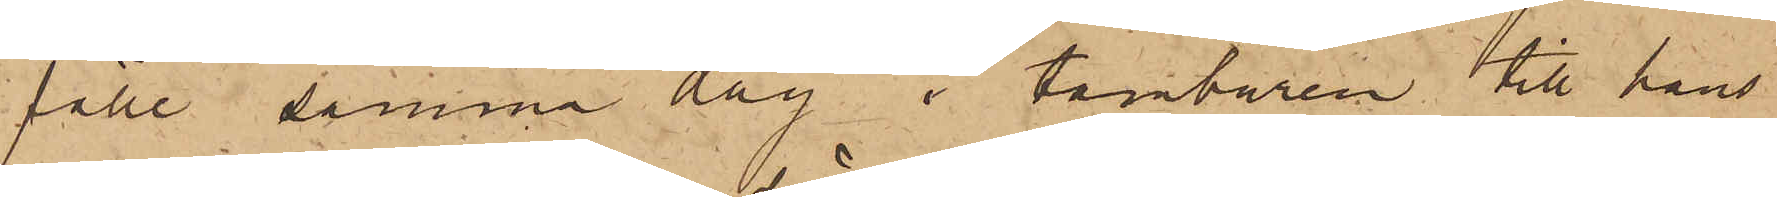fälle samma dag i tamburen till hans
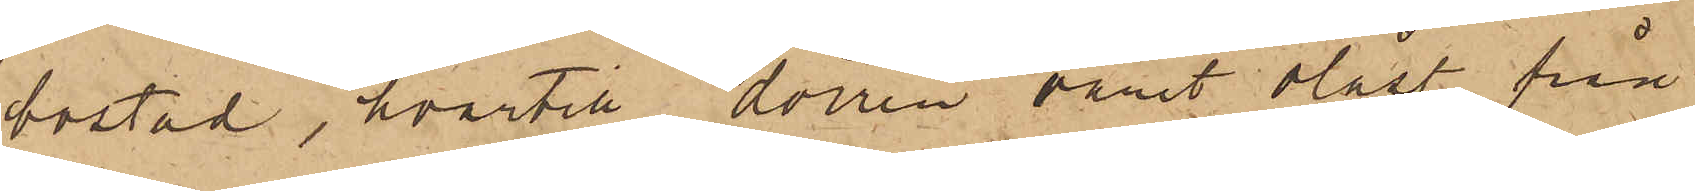bostad, hvartill dörren varit olåst, från
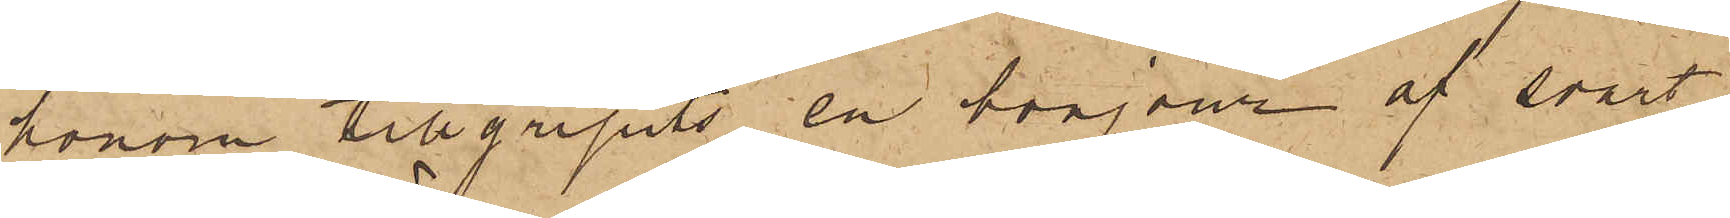honom tillgripits en bonjour af svart
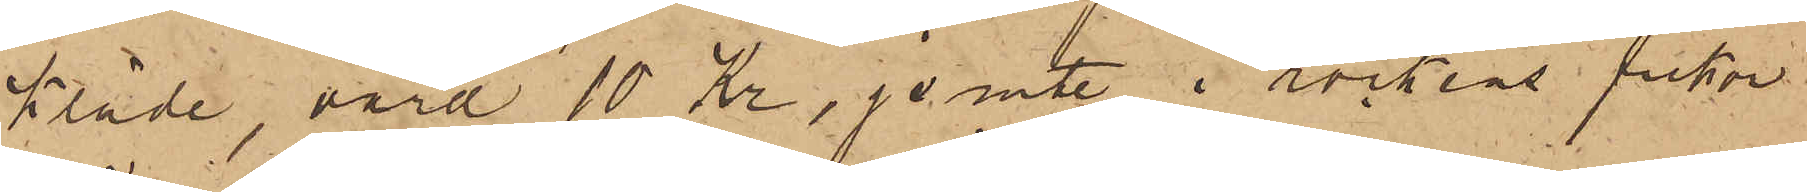kläde, värd 10 Kr, jemte i rockens fickor
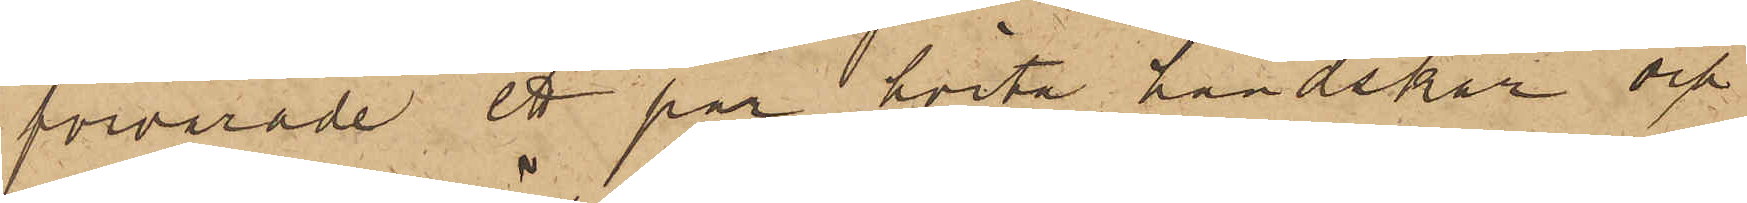förvarade ett par hvita handskar och
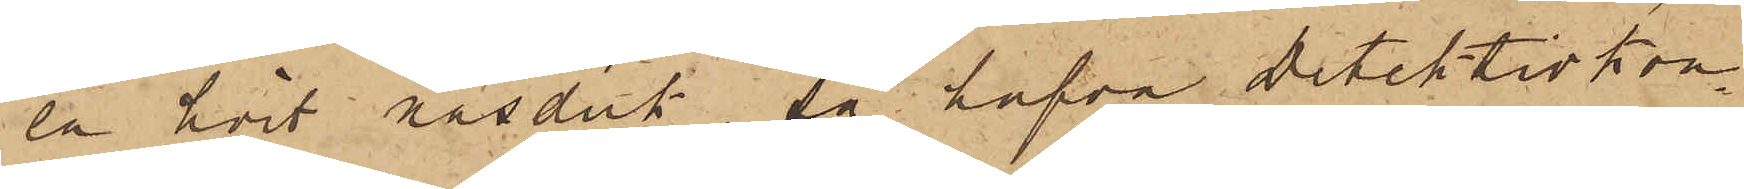en hvit näsduk, så hafva detektivkon¬
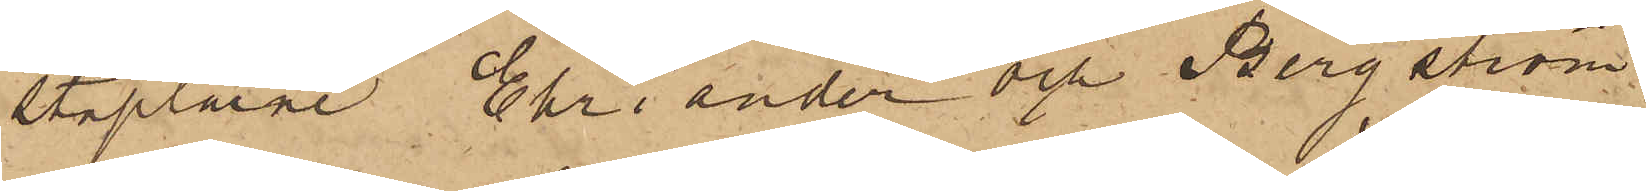staplarne Ehriander och Bergström,
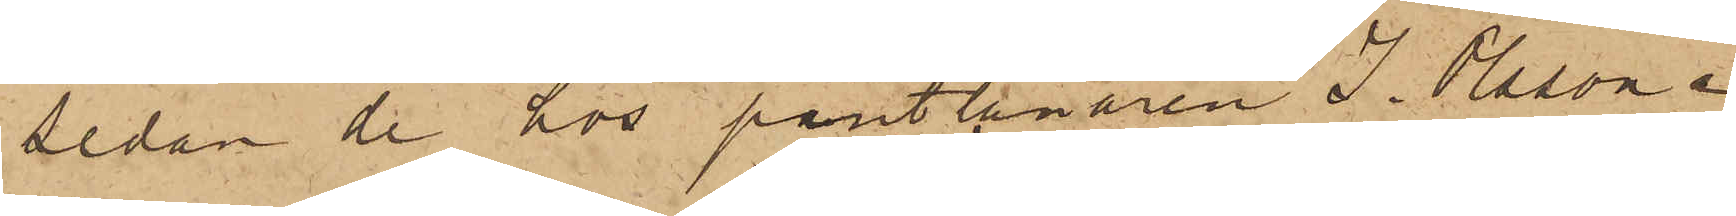Sedan de hos pantlånaren J. Olsson i
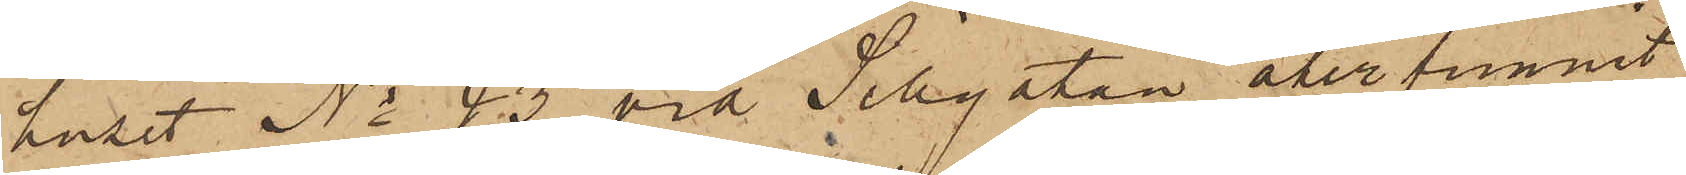huset No 43 vid Sillgatan återfunnit
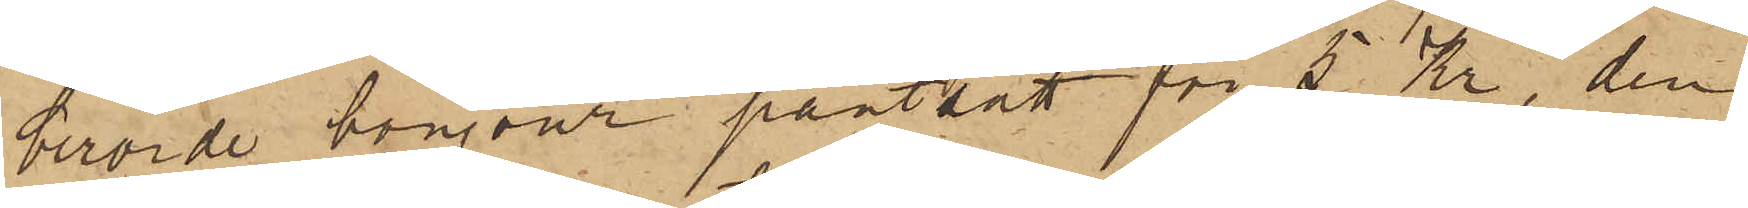berörde bonjour pantsatt för 5 Kr, den
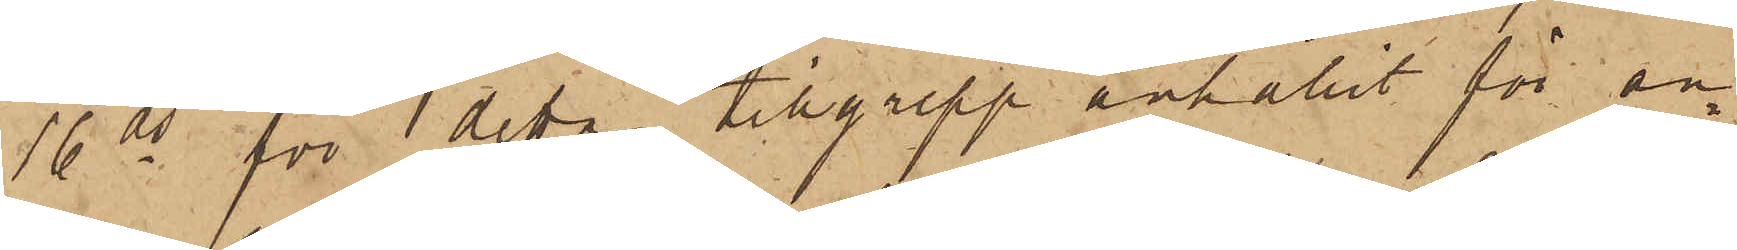16 ds för detta tillgrepp anhållit för an¬
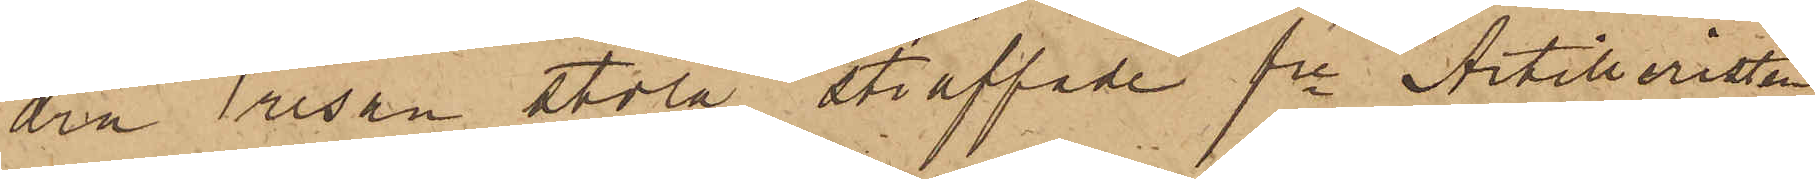dra resan stöld straffade fre Artilleristen
